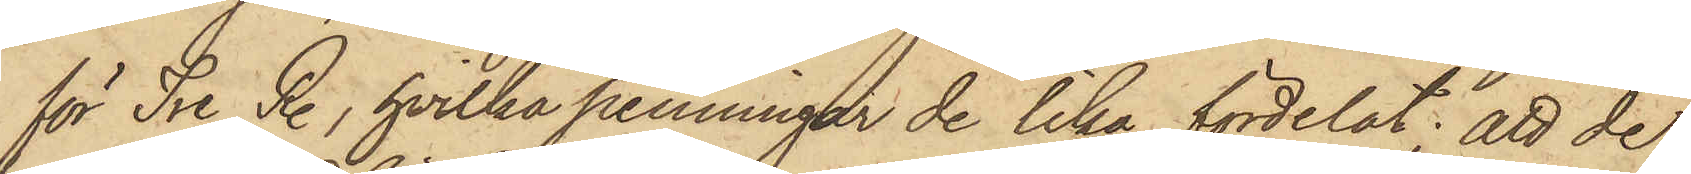för Tre R., hvilka penningar de lika fördelat; att de,
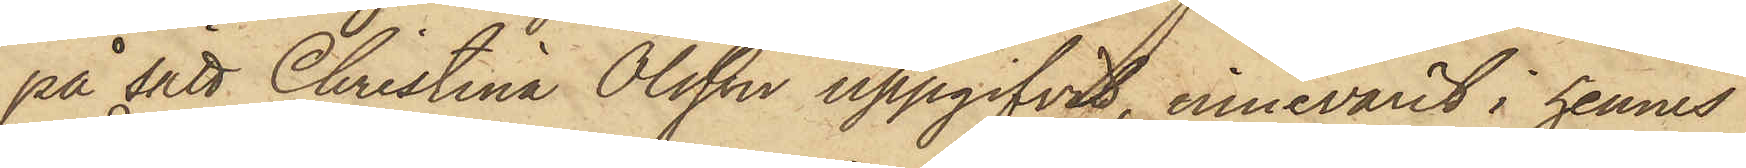på sätt Christina Olsson uppgifvit, innevarit i hennes
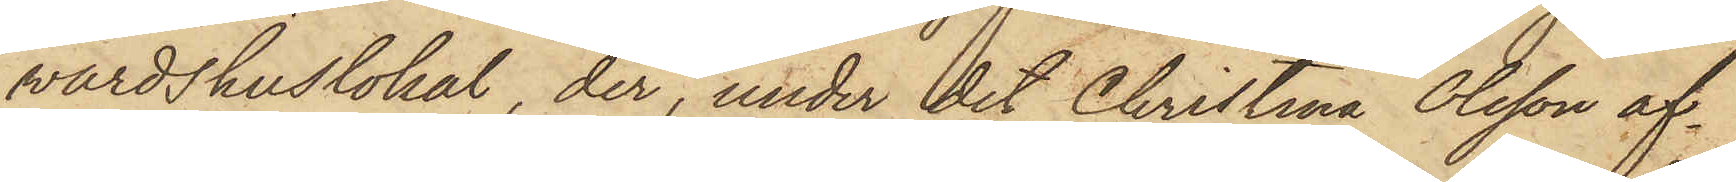värdshuslokal, der, under det Christina Olsson af¬
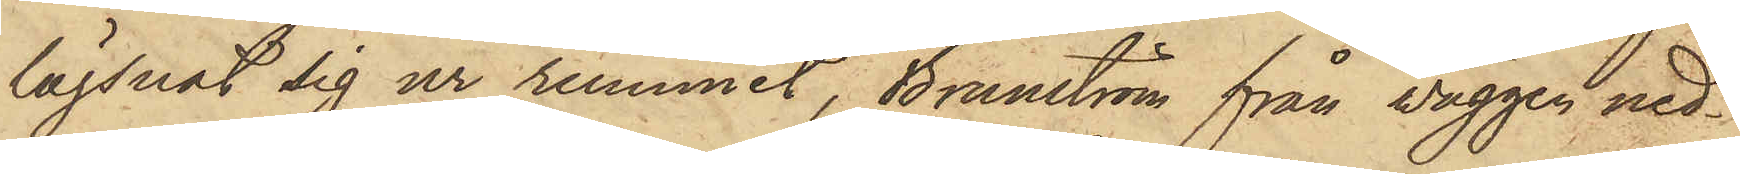lägsnat sig ur rummet, Brunström från väggen ned¬
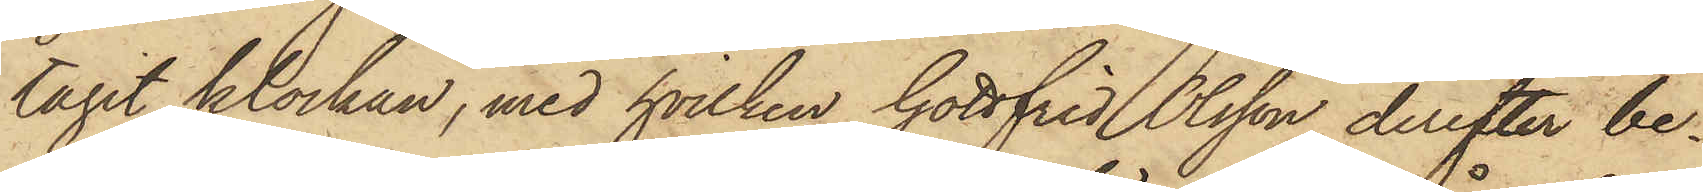tagit klockan, med hvilken Gottfrid Olsson derefter be¬
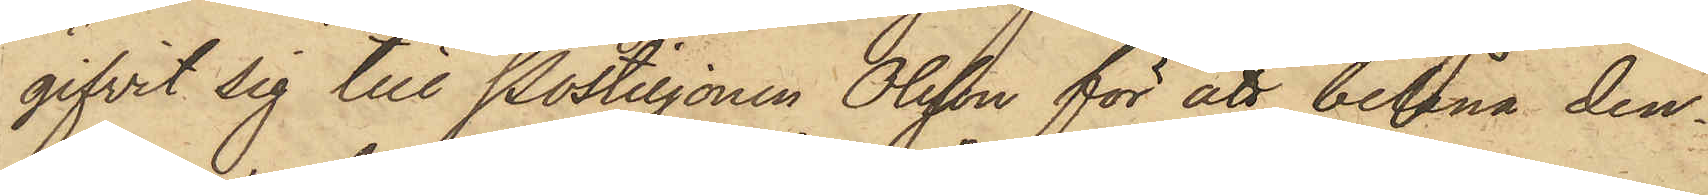gifvit sig till Postiljonen Olsson för att belåna den¬
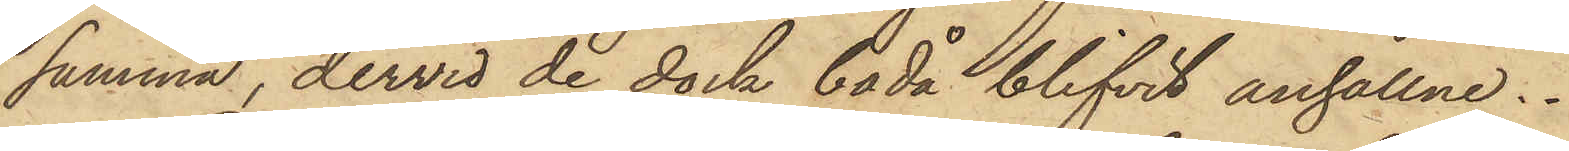samma, dervid de dock båda blifvit anhållne.
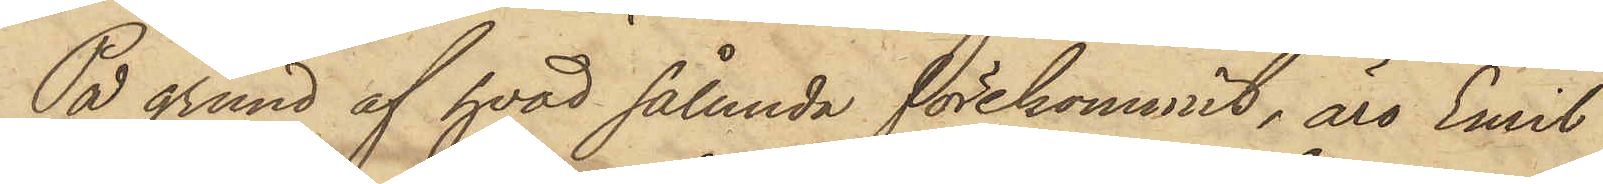På grund af hvad sålunda förekommit, äro Emil
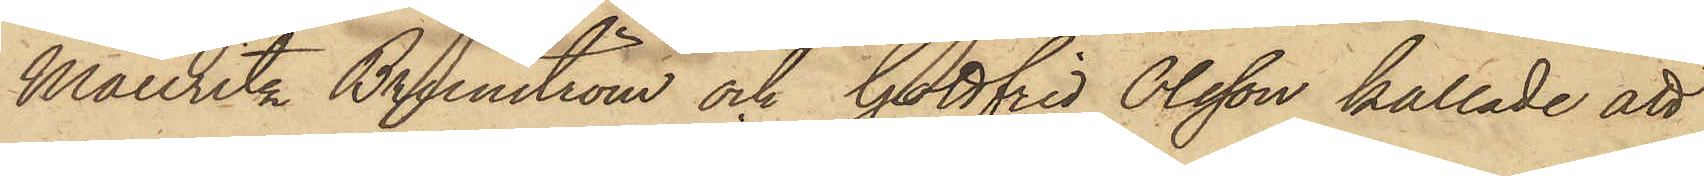Mauritz Brunström och Gottfrid Olsson kallade att
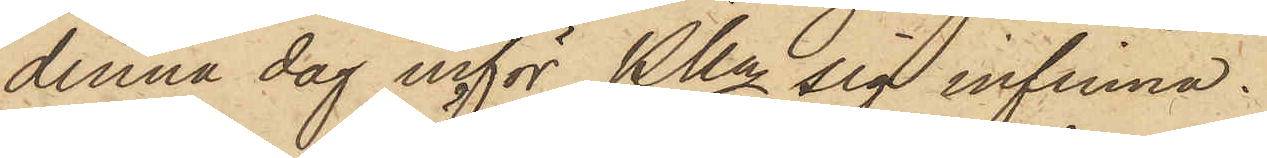denna dag inför Pkn sig infinna.
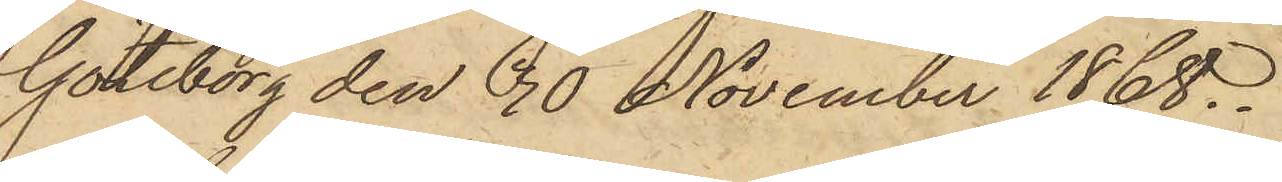Göteborg den 10 November 1868.
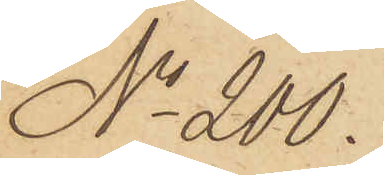No 200.
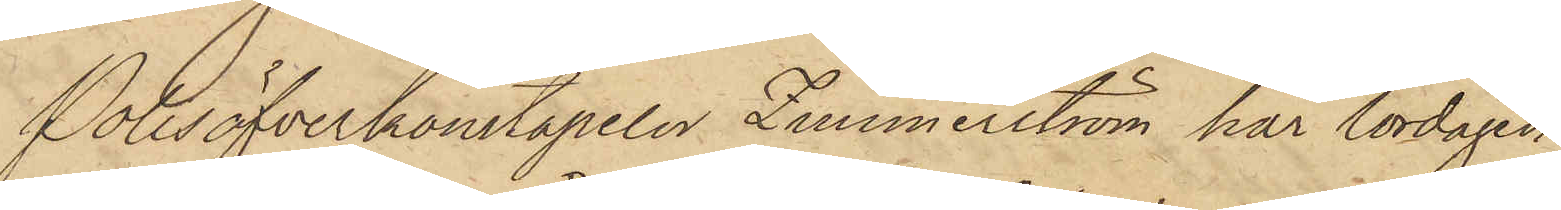Polisöfverkonstapeln Zimmerström har lördagen
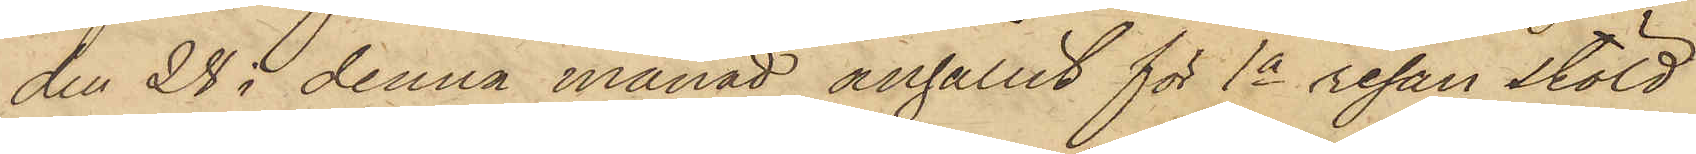den 28 i denna månad anhållit för 1a resan stöld
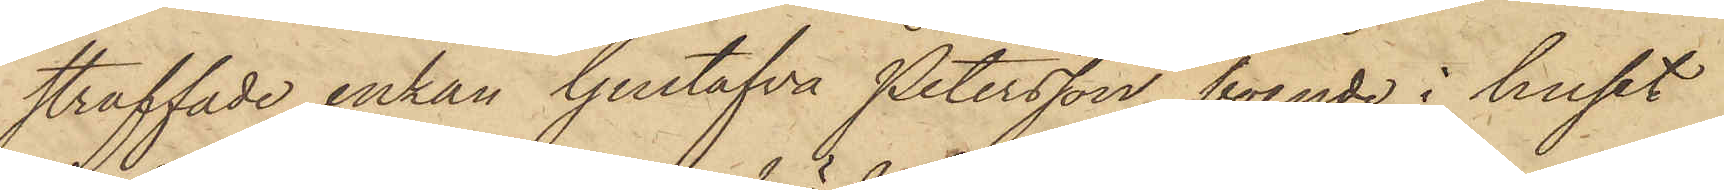straffade enkan Gustafva Petersson, boende i huset
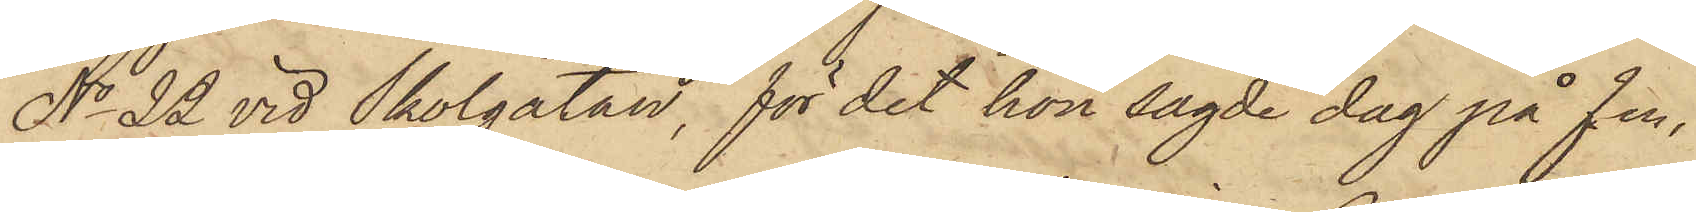No 22 vid Skolgatan, för det hon sagde dag på fm.
